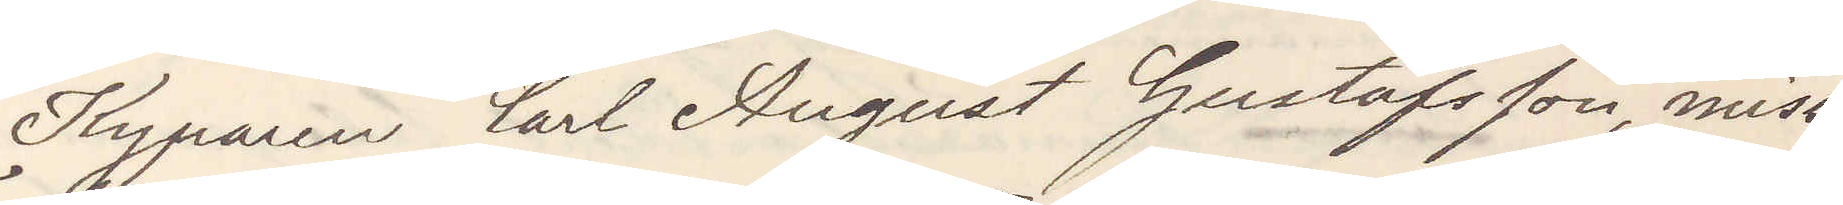Kyparen Carl August Gustafsson, miss¬
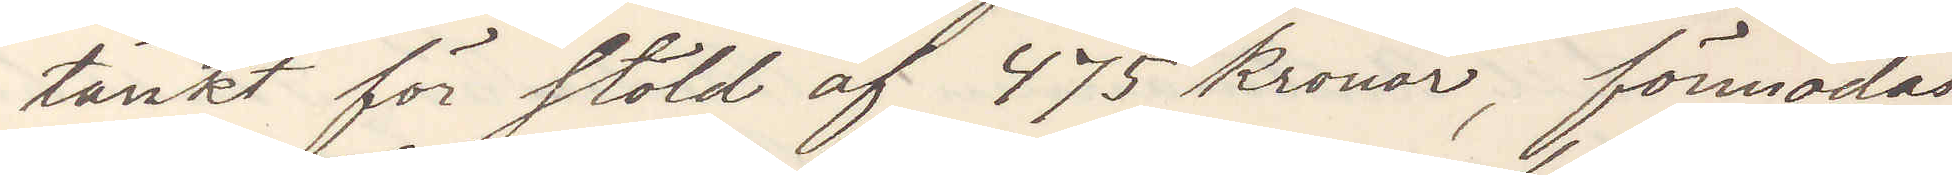tänkt för stöld af 475 kronor, förmodas
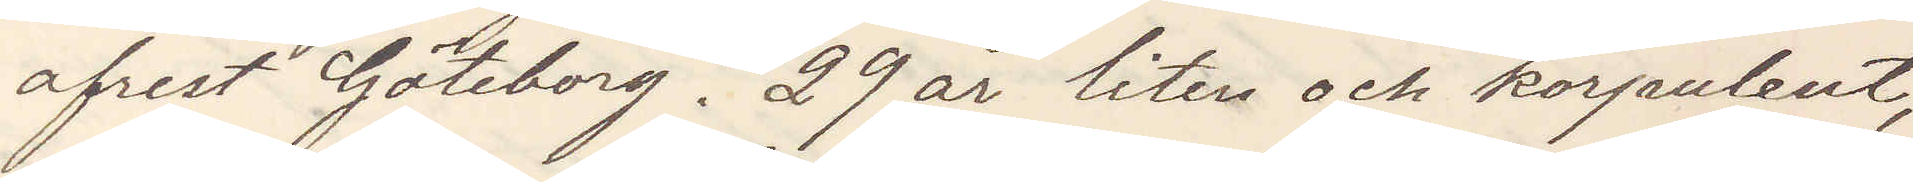afrest Göteborg. 29 år liten och korpulent,
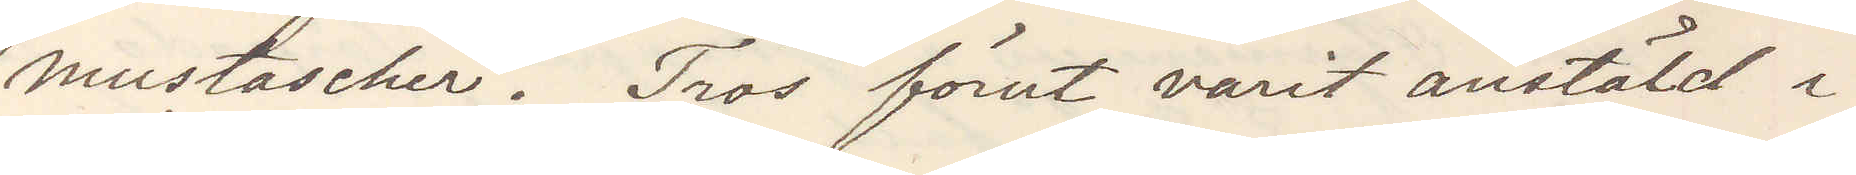mustascher. Tros förut varit anstäld i
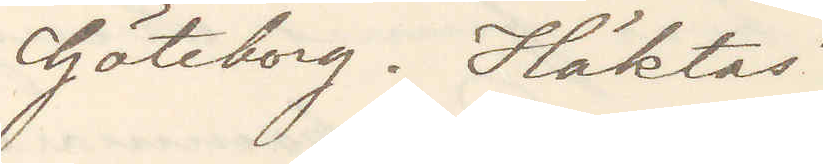Göteborg. Häktas.
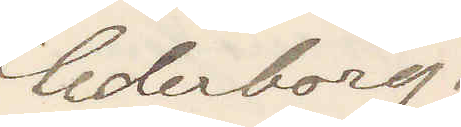Cederborg
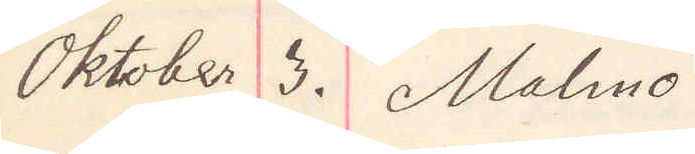Oktober 3. Malmö
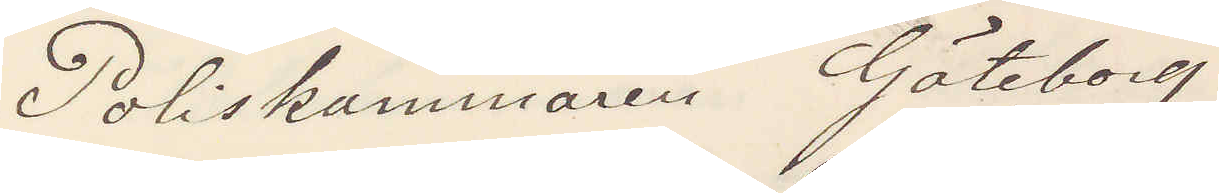Poliskammaren Göteborg
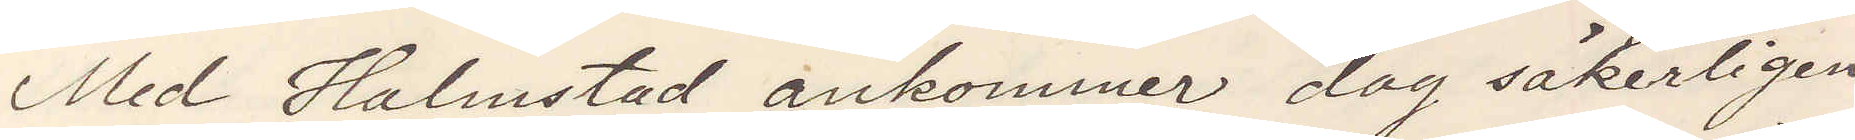Med Halmstad ankommer dag säkerligen
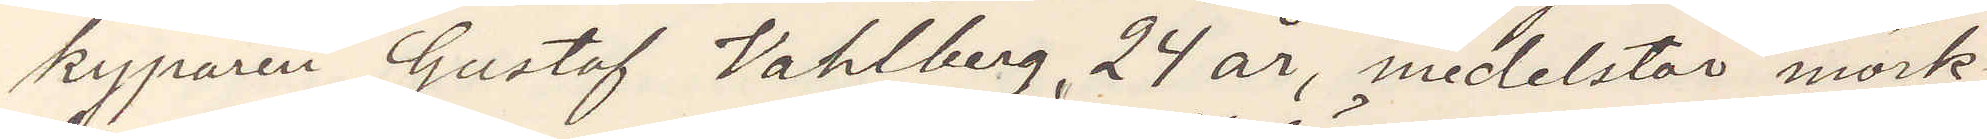kyparen Gustaf Vahlberg, 24 år, medelstor mörk¬
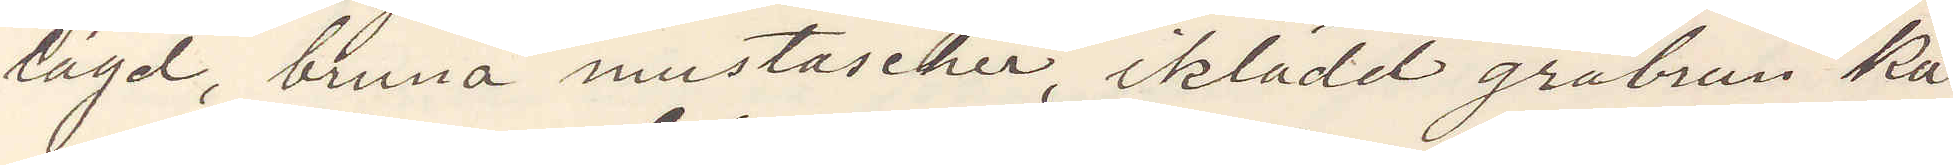lagd, bruna mustascher, iklädd gråbrun ka¬
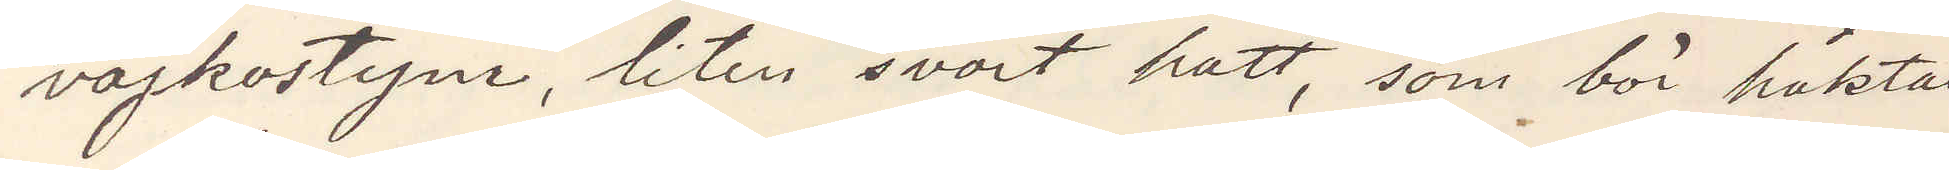vajkostym, liten svart hatt, som bör häktas
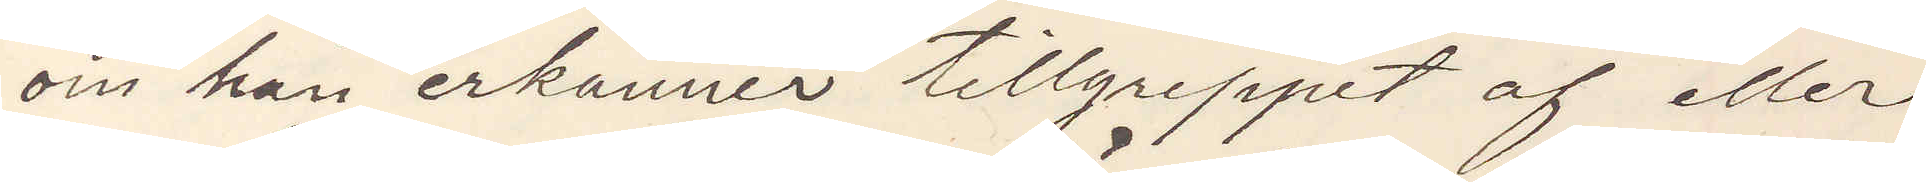om han erkänner tillgreppet af eller
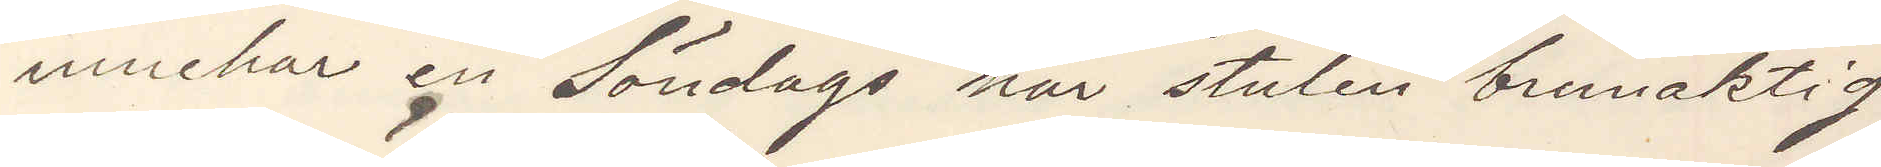innehar en Söndags här stulen brunaktig
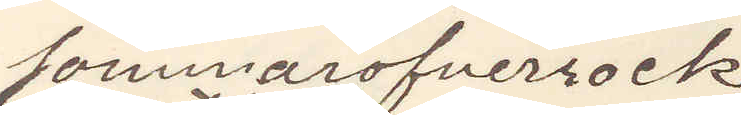sommaröfverrock.
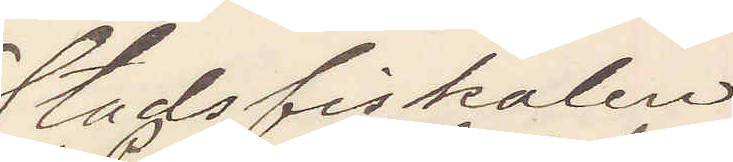Stadsfiskalen
